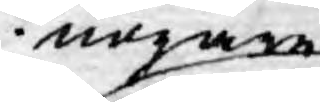nogare
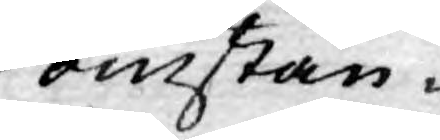omstän¬
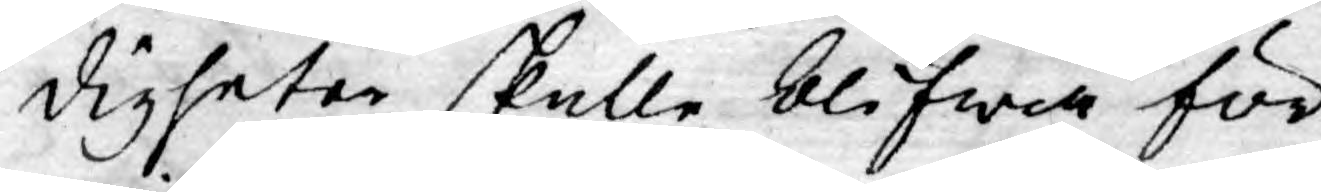digheter skulle blifwa för
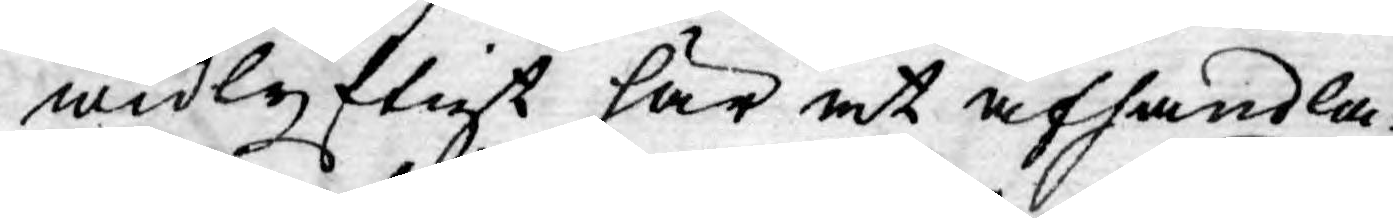widlyftigt här at afhandla:
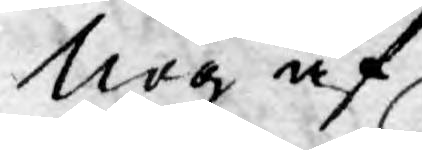Nog af,
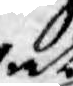at
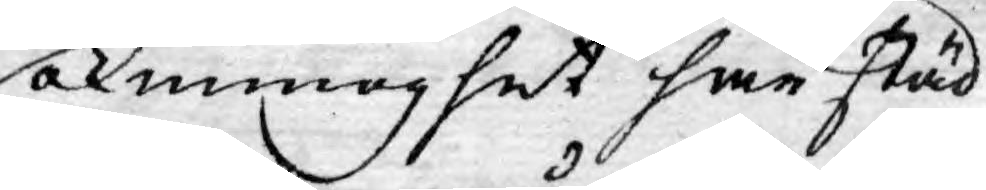okunnoghet har städ¬
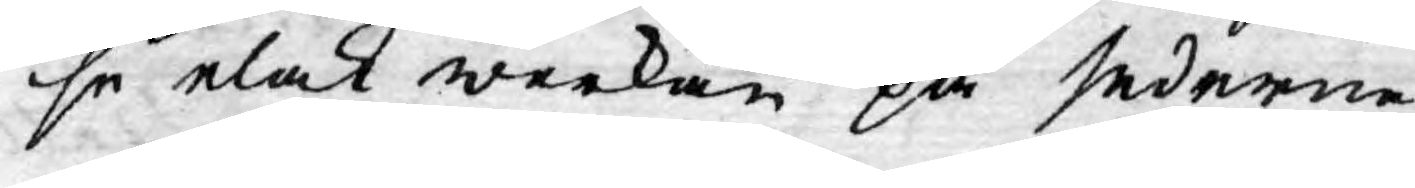se elak werkan på sederne,
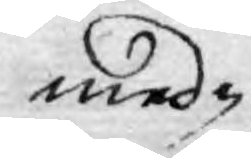med¬
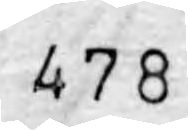478
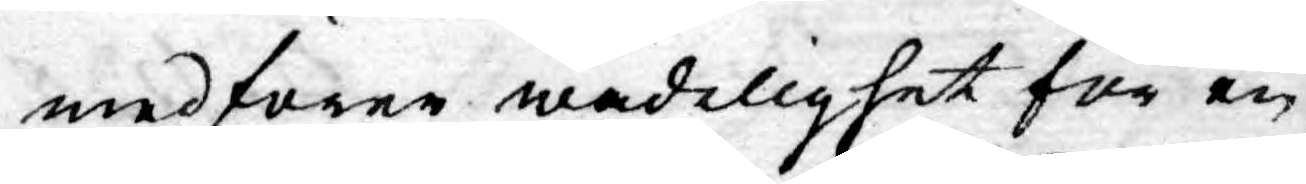medförer wådelighet för en
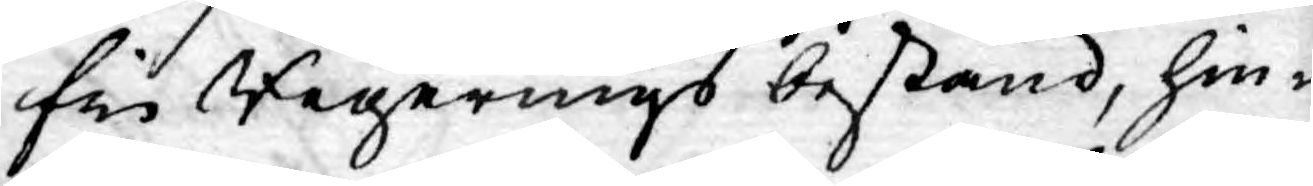fri Regerings bestånd, hin¬
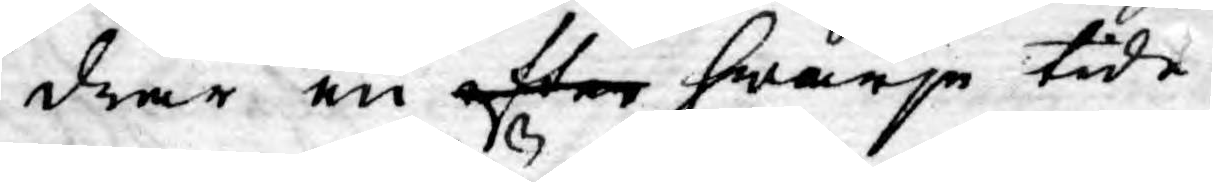drar en efter hwarje tide¬
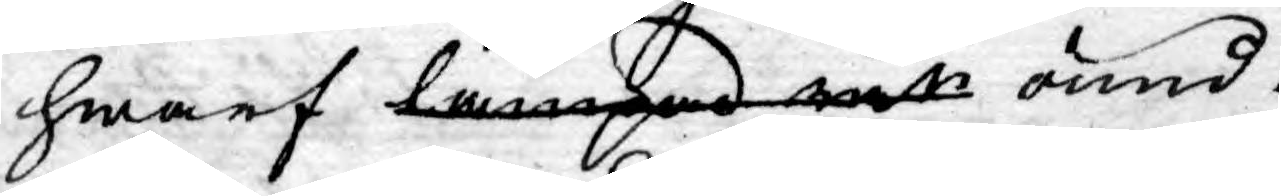hwarf lämpad wer ound¬
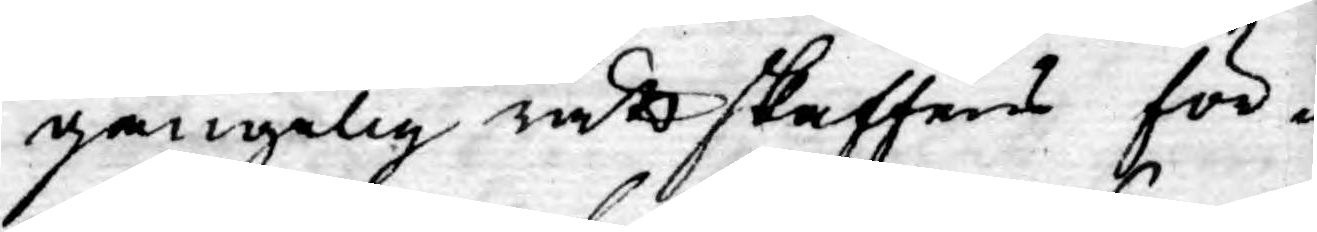gängelig rättskaffens för¬
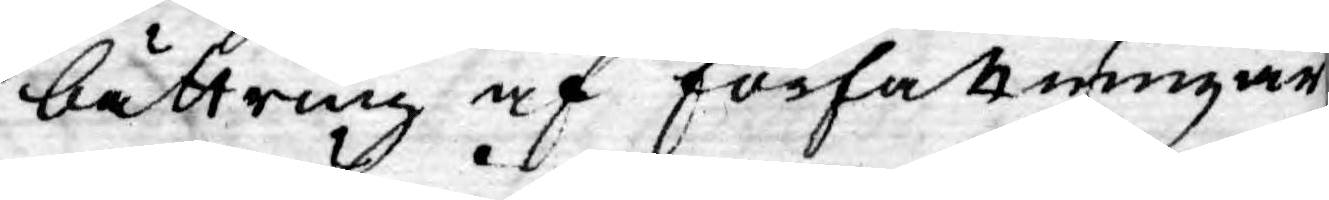bättring af författningar
